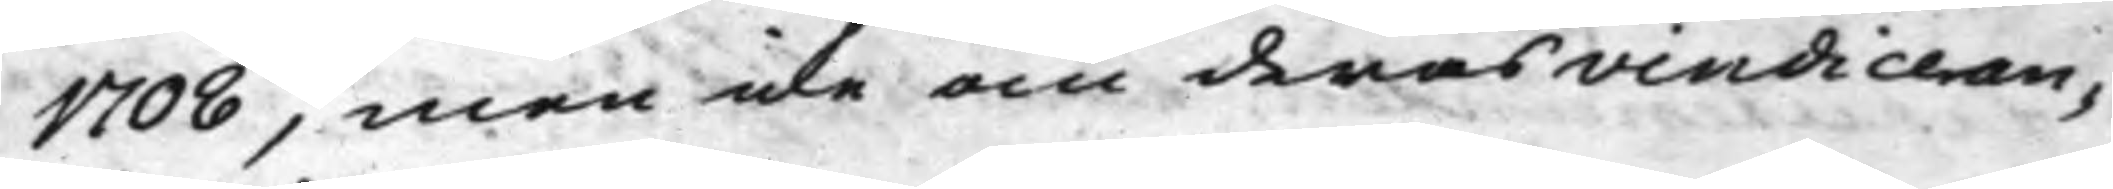1708, men icke om deras vindiceran¬
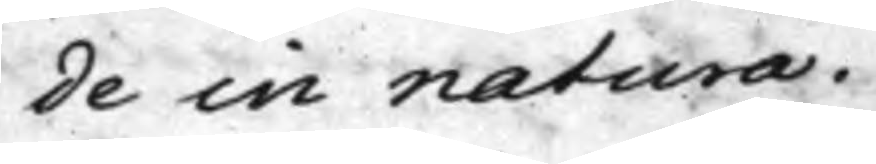de in natura.
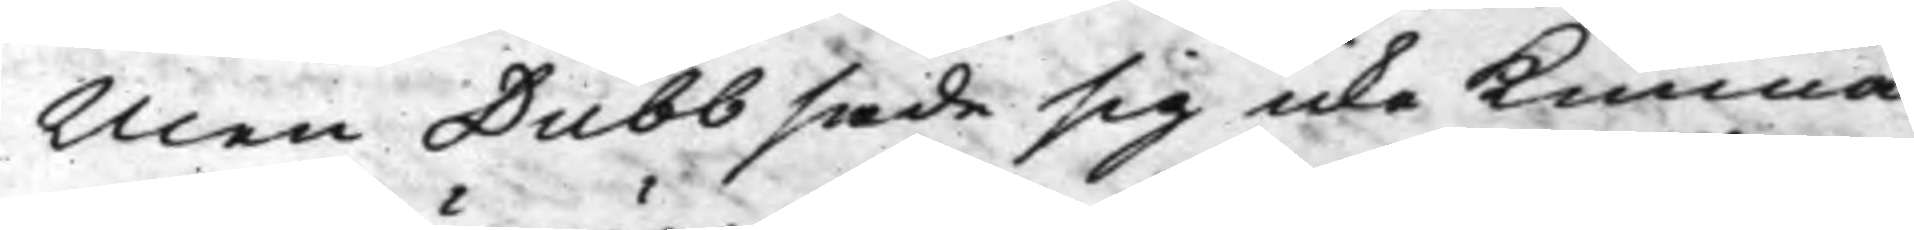Men Dubb sade sig icke Kunna
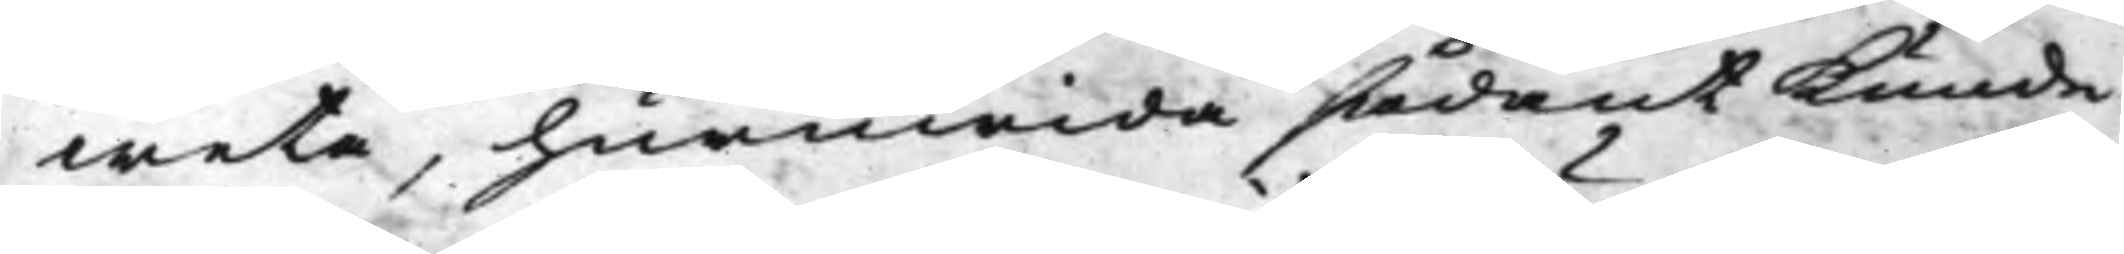weta, huruwida sådant Kunde
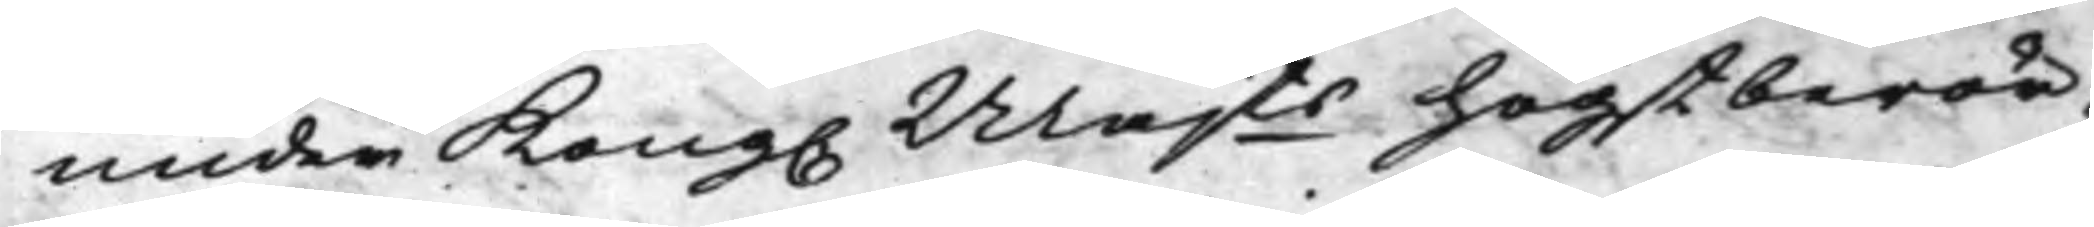under Kong. Majts högstberör¬
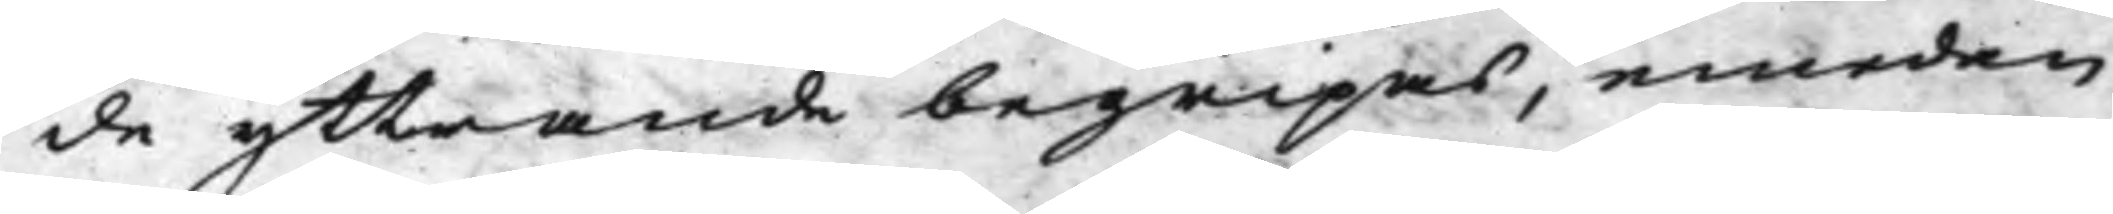de yttrande begripas, emedan
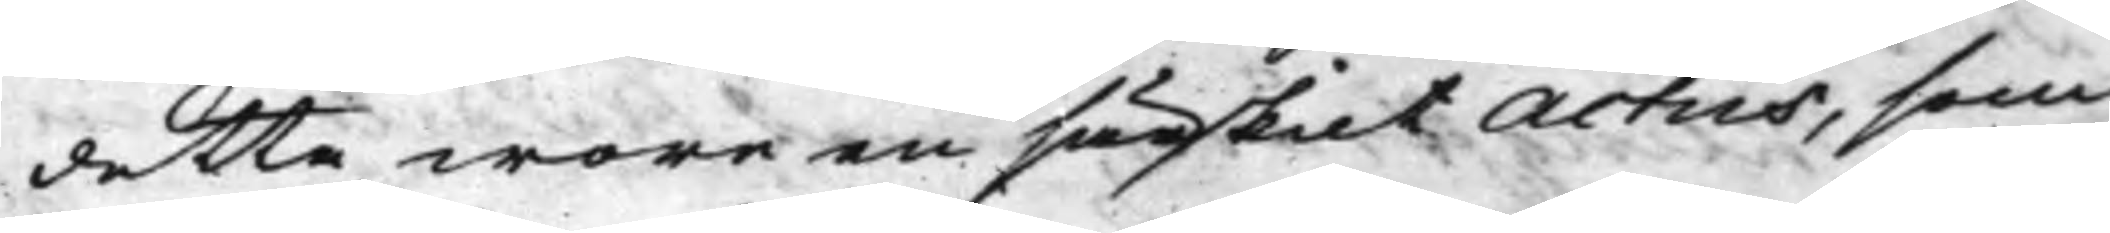detta wore en särskilt Actus, som
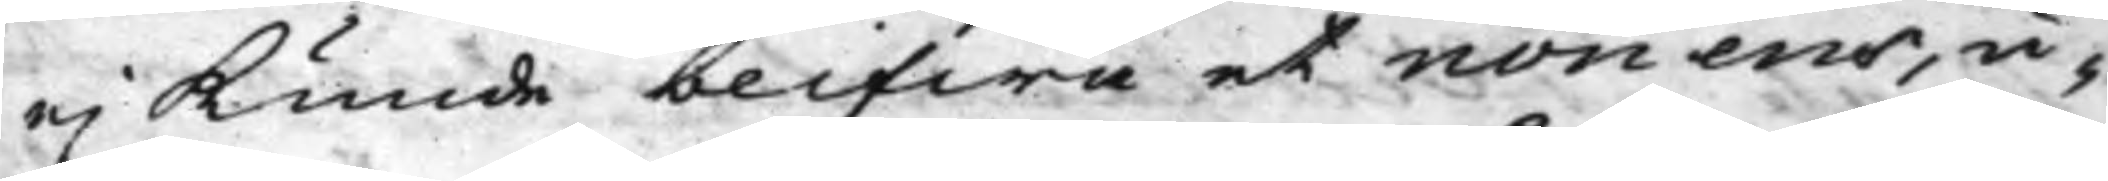ej Kunde blifwa et non ens, u¬
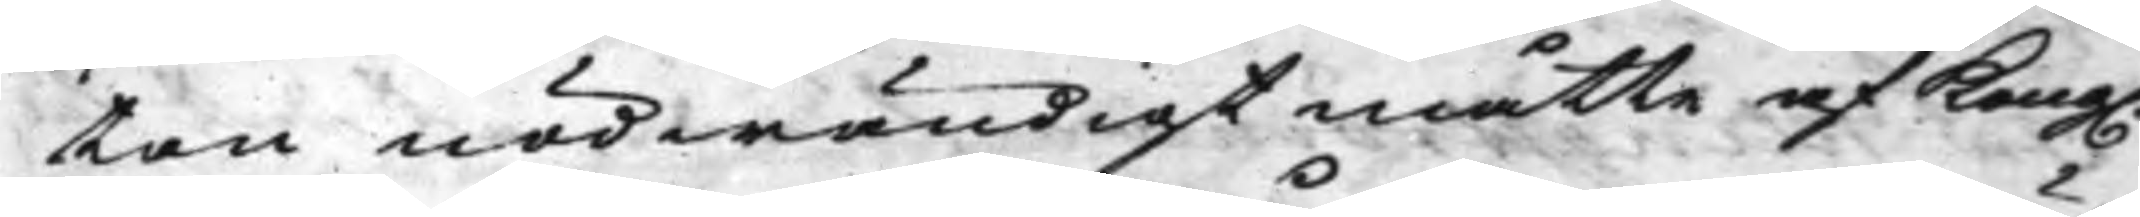tan nödwändigt måtte af Kong.
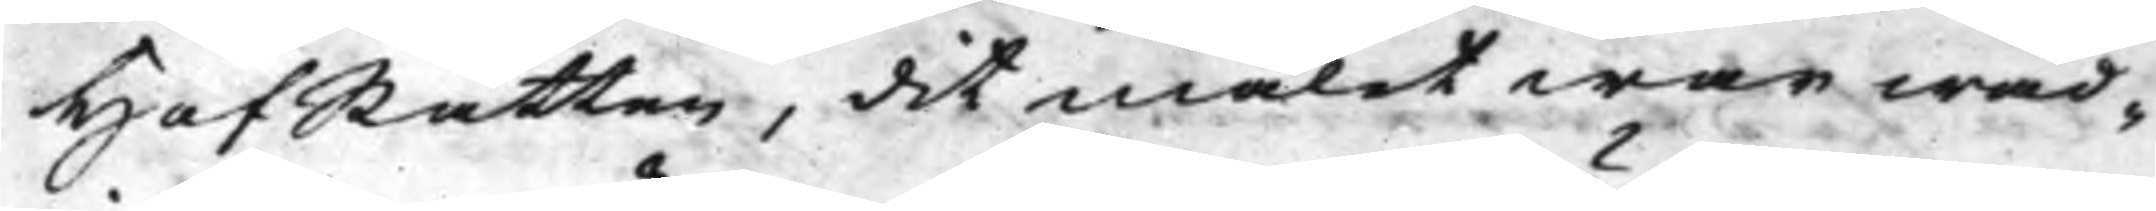HofRätten, dit målet war wäd¬
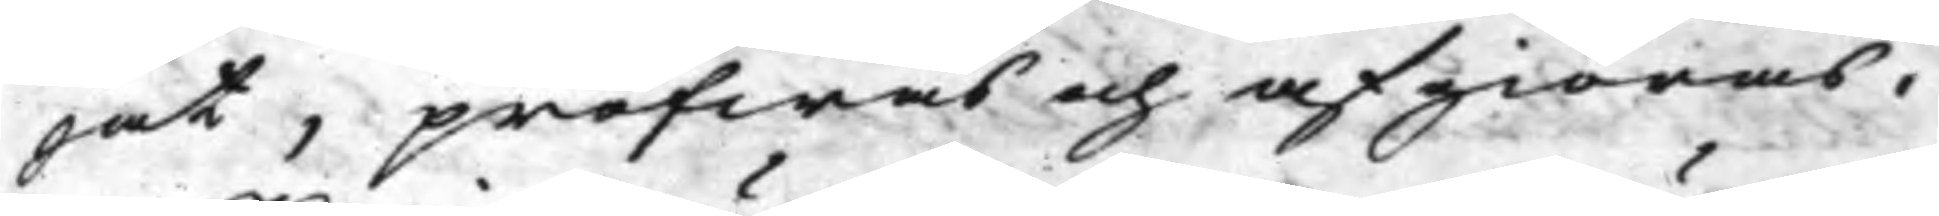jat, pröfwas och afgiöras.
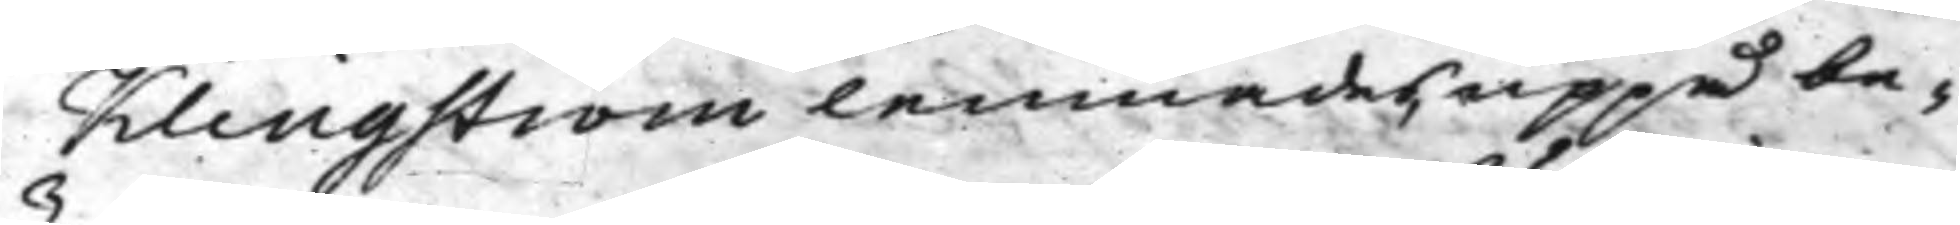Klingström lemnades uppå be¬
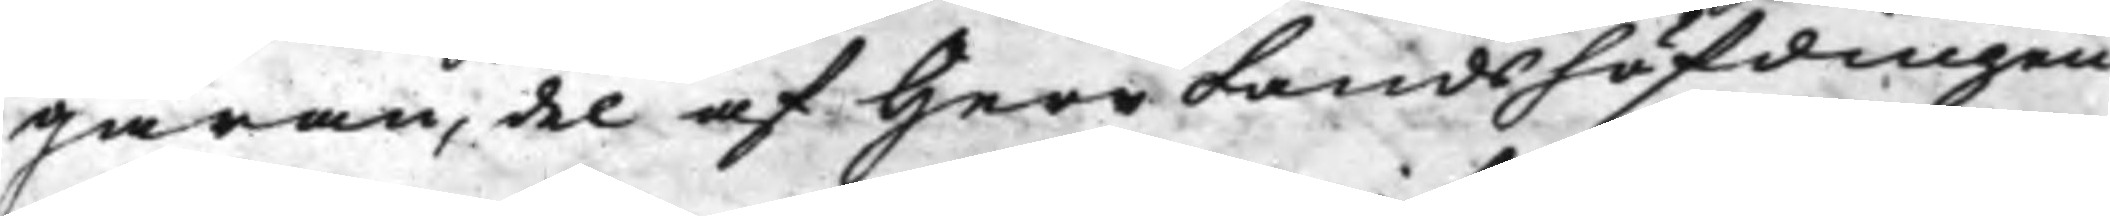gäran, del af Herr Landshöfdingen
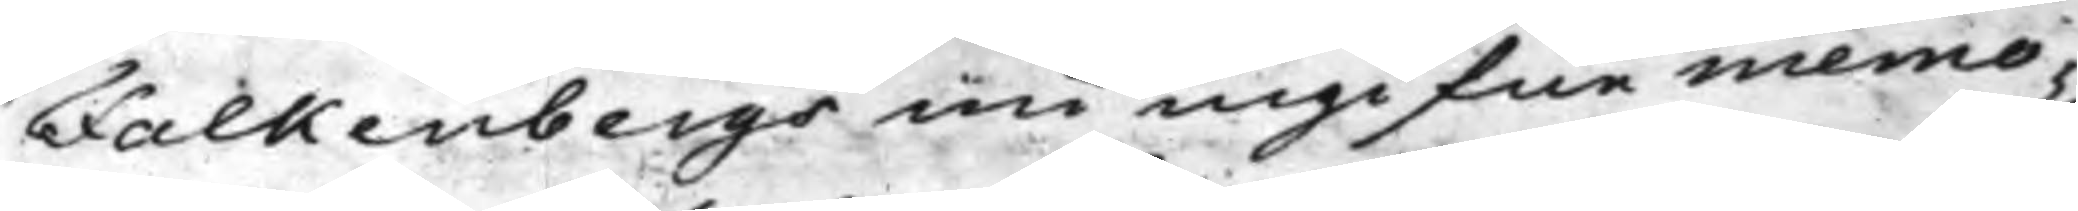Falkenbergs nu ingifne memo¬
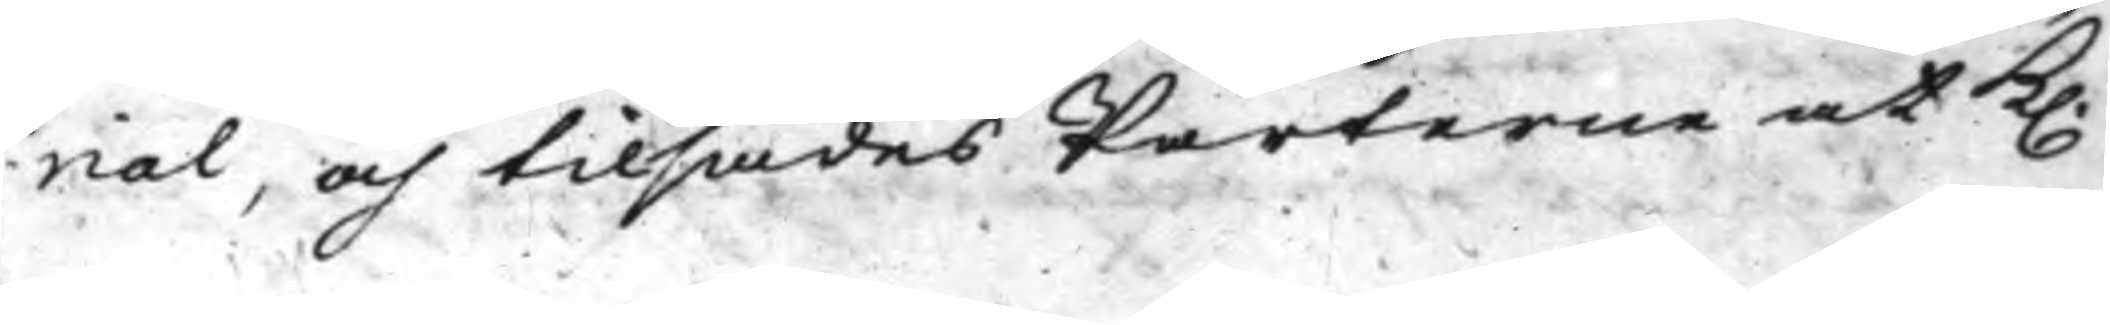ral, och tilsades Parterne at K.
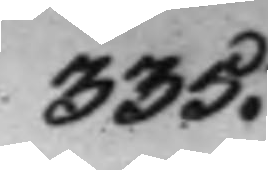335.
